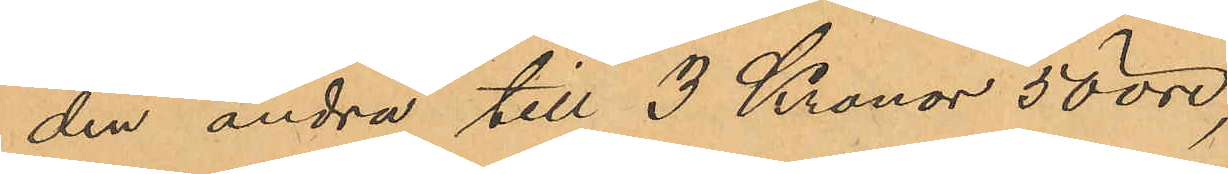den andra till 3 Kronor 50 öre,
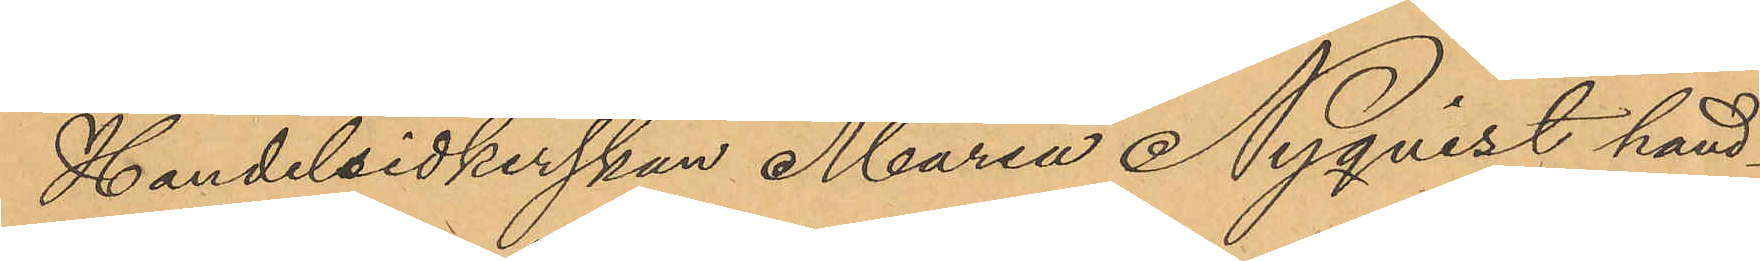Handelsidkerskan Maria Nyqvist hand¬
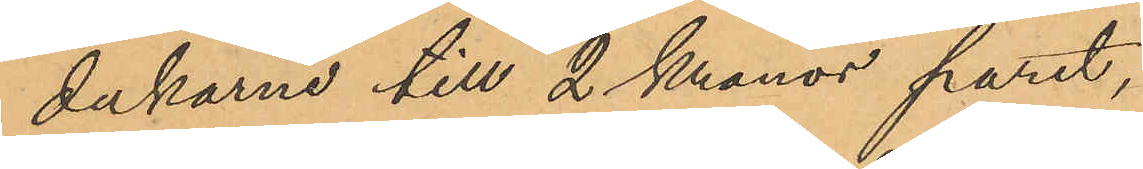dukarne till 2 Kronor paret,
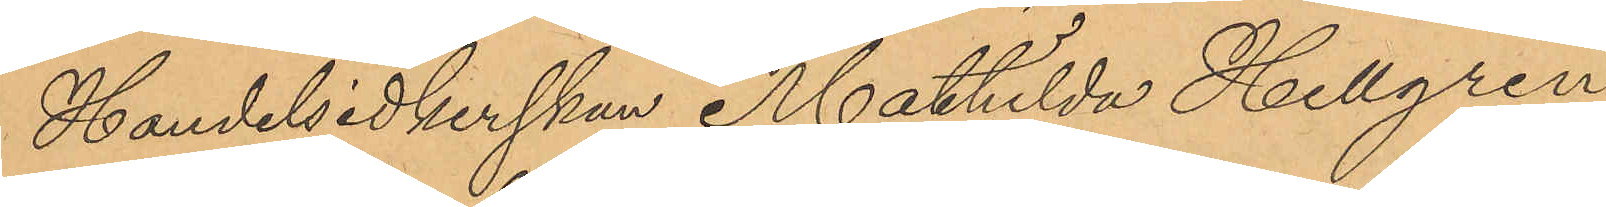Handelsidkerskan Mathilda Hellgren
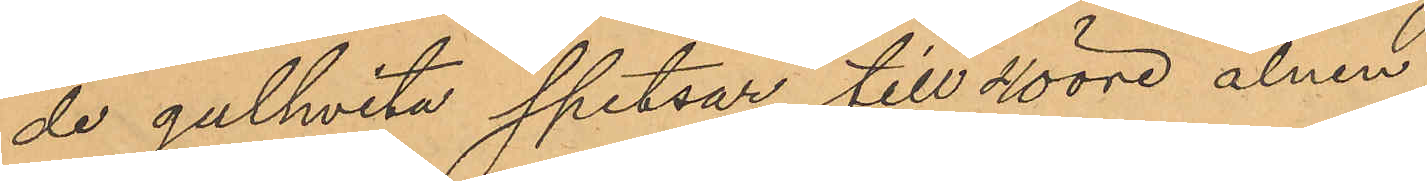de gulhvita spetsar till 40 öre alnen,
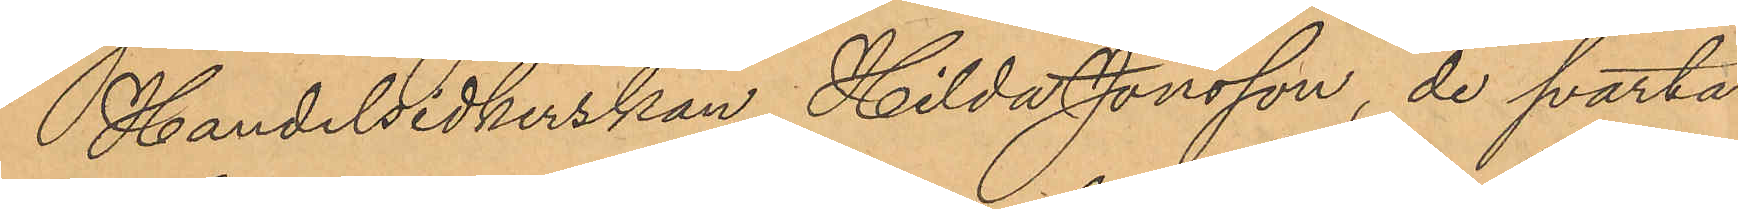Handelsidkerskan Hilda Jonsson, de svarta
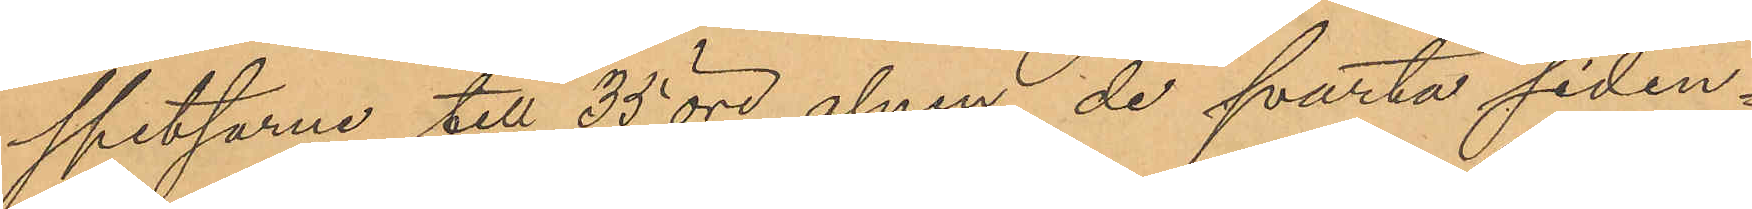spetsarne till 35 öre alnen, de svarta siden¬
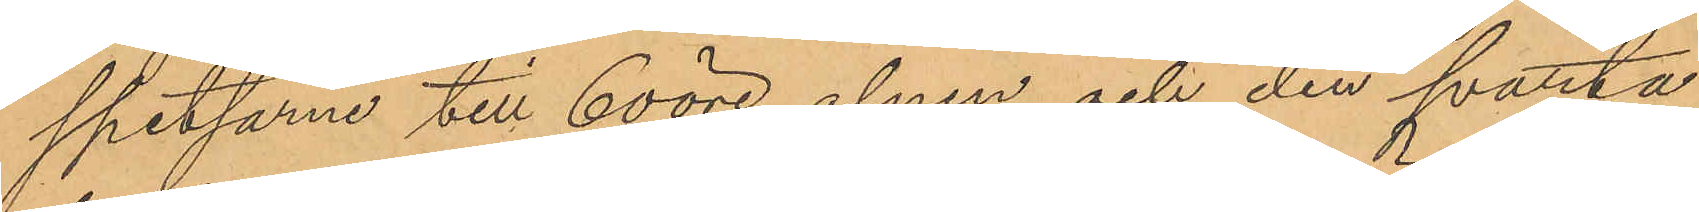spetsarne till 60 öre alnen och den svarta
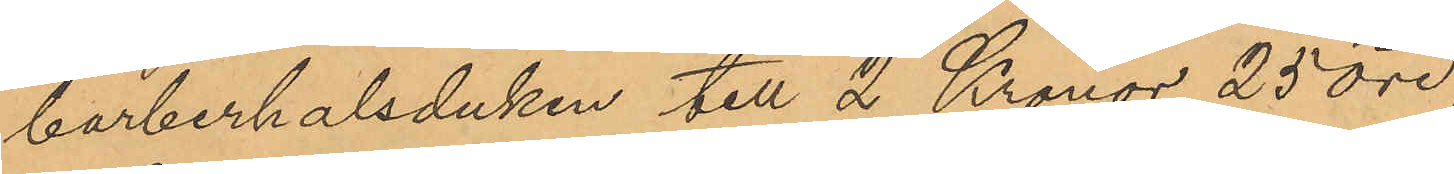barberhalsduken till 2 Kronor 25 öre,
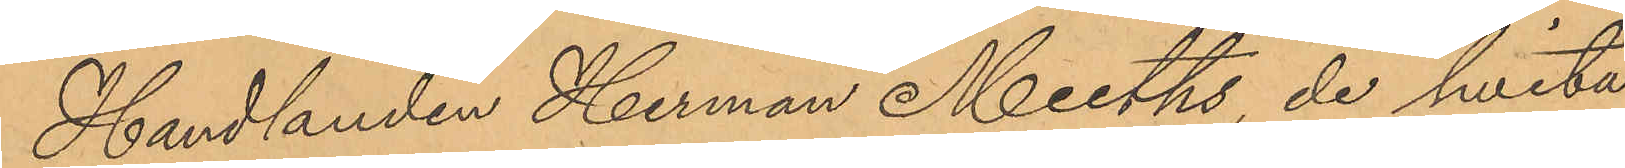Handlanden Herman Meeths, de hvita
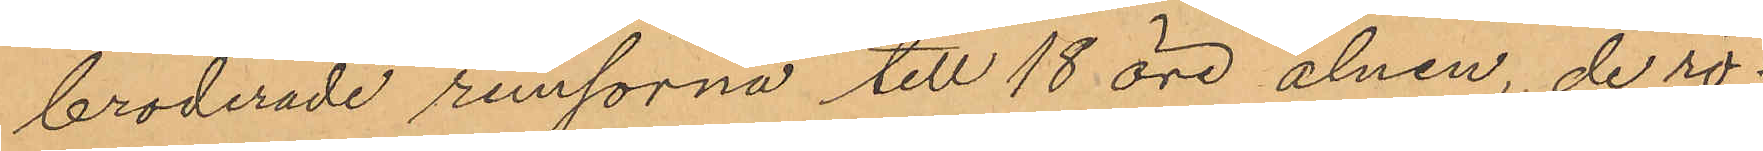broderade remsorna till 18 öre alnen, de rö¬
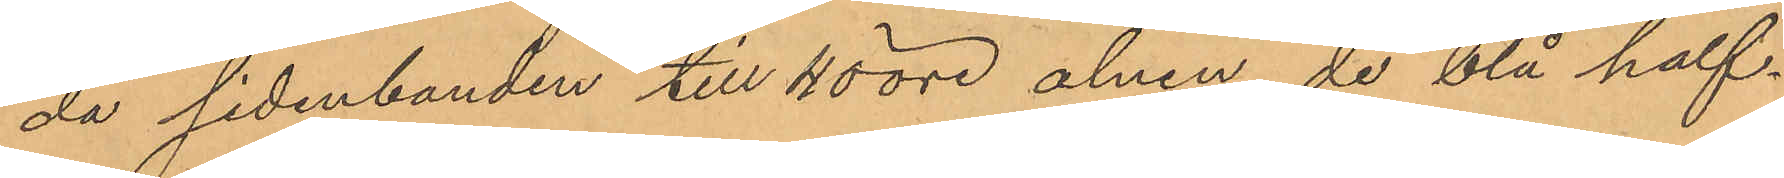da sidenbanden till 40 öre alnen, de blå half¬
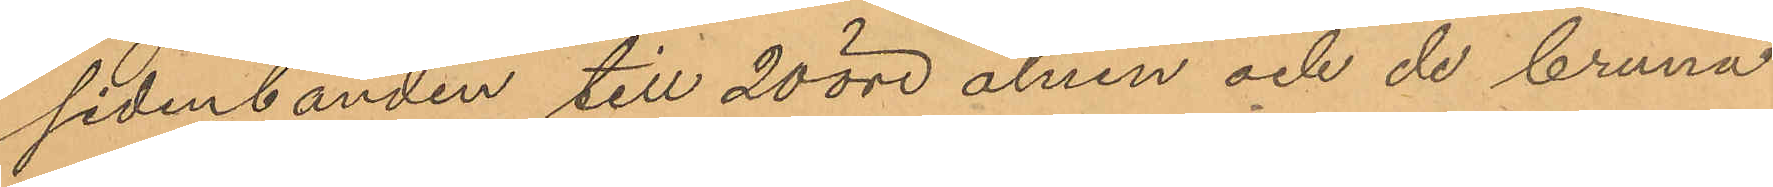sidenbanden till 20 öre alnen och de bruna
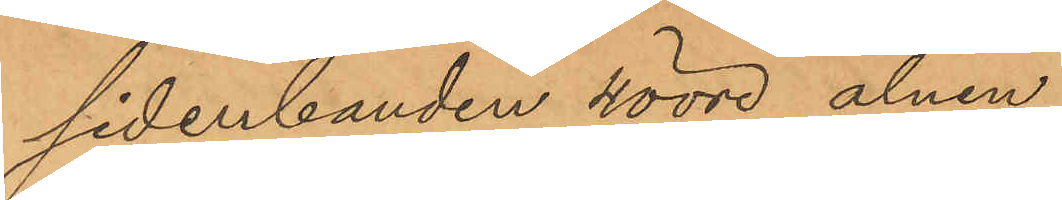sidenbanden 40 öre alnen,
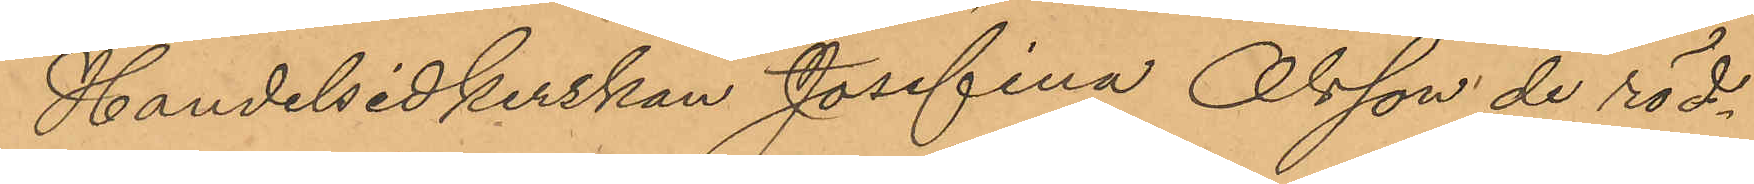Handelsidkerskan Josefina Olsson de röd¬
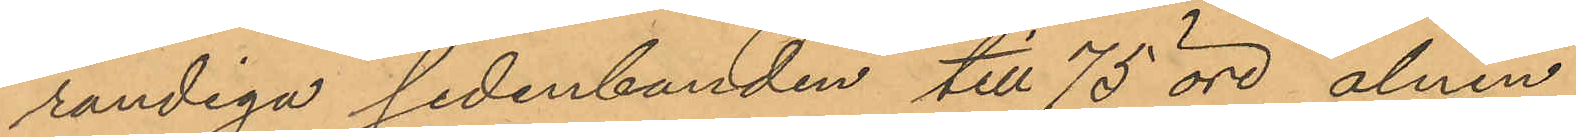randiga sidenbanden till 75 öre alnen,
